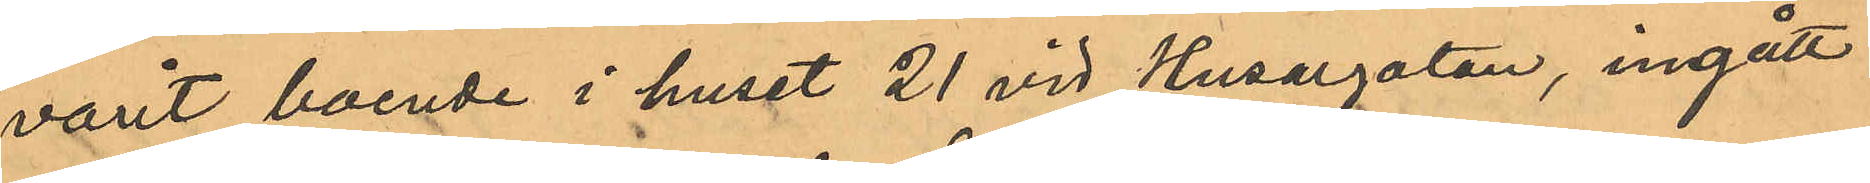varit boende i huset 21 vid Husargatan, ingått i
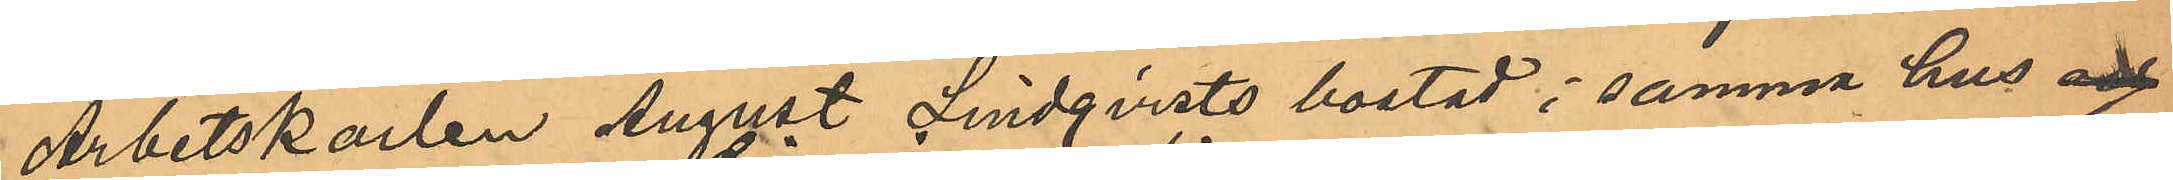Arbetskarlen August Lindqvists bostad i samma hus och
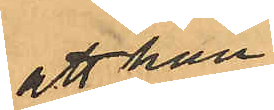att han
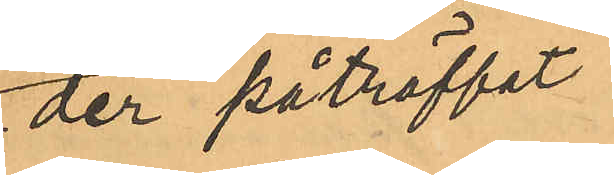der påträffat
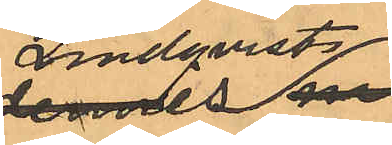Lindqvists 
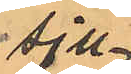sju¬
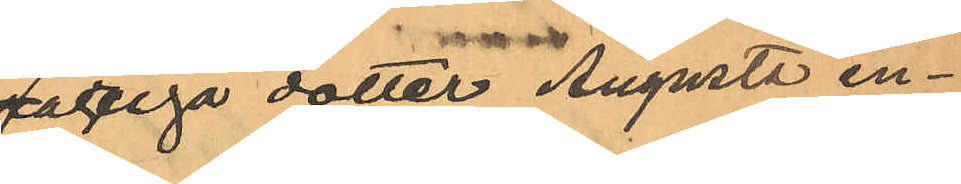åriga dotter Augusta en¬
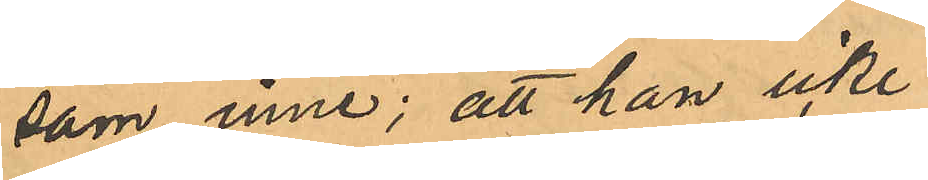sam inne; att han icke
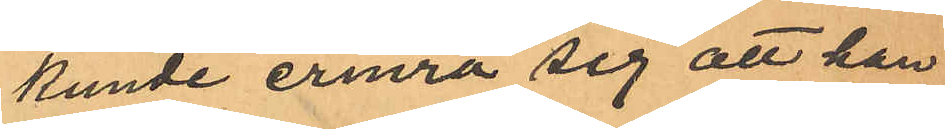kunde erinra sig att han
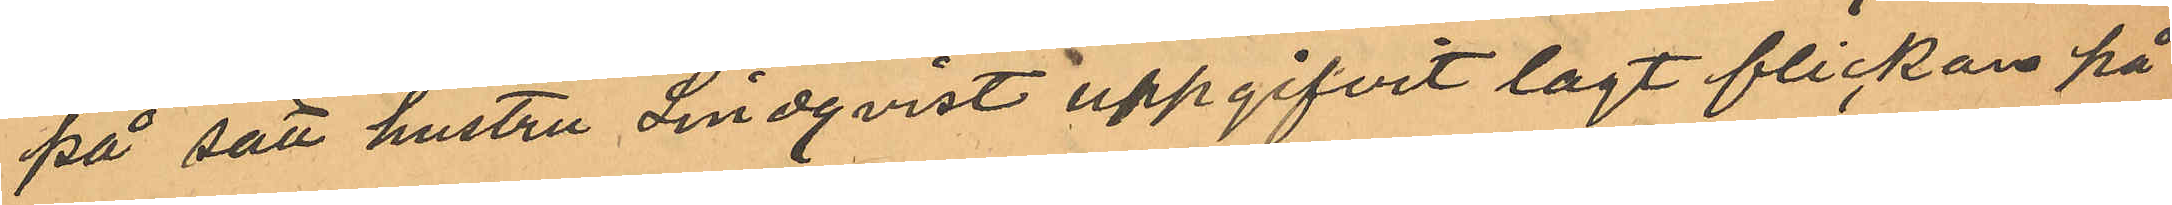på sätt hustru Lindqvist uppgifvit lagt flickan på
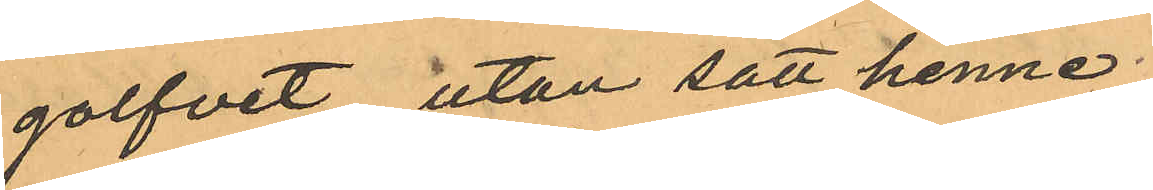golfvet utan satt henne
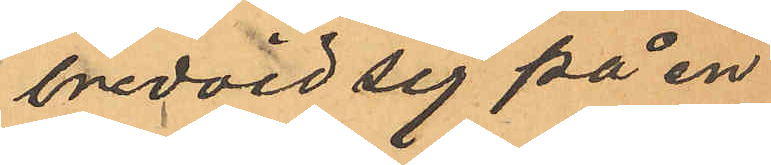bredvid sig på en
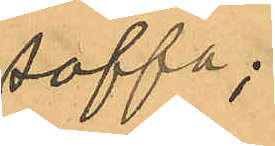soffa;
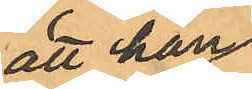att han
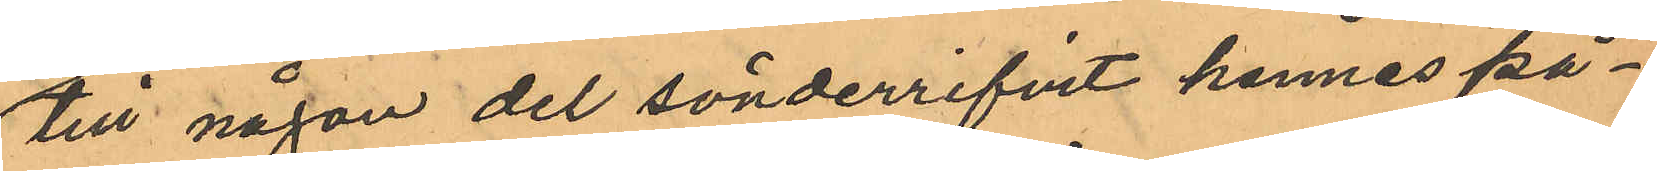till någon del sönderrifvit hennes på¬
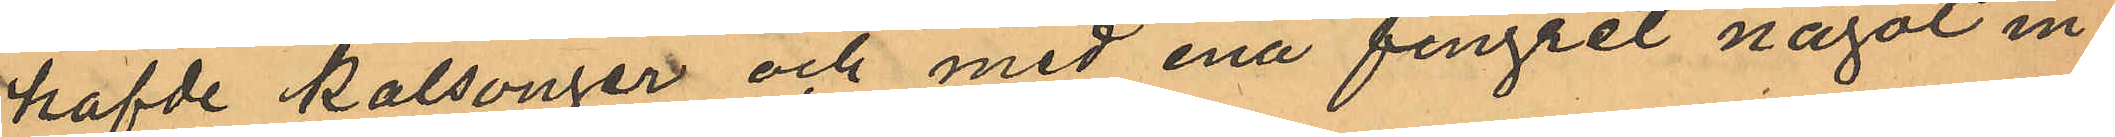hafde kalsonger och med ena fingret något in¬
